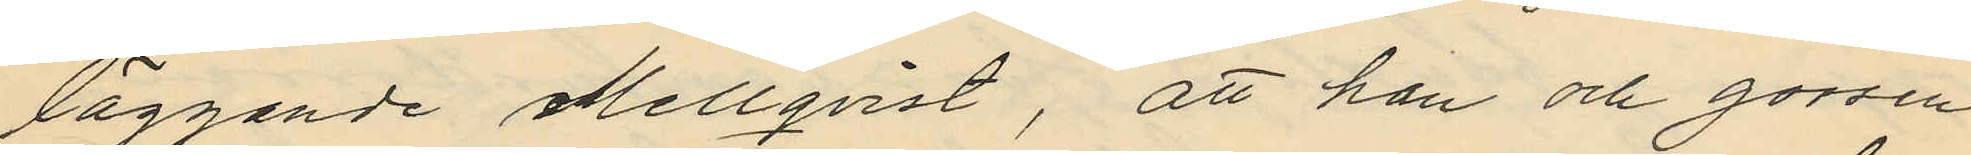läggande Mellqvist, att han och gossen
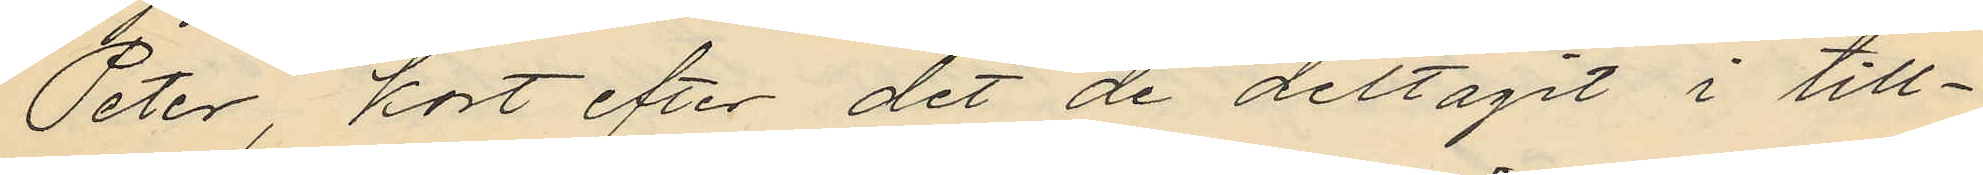Peter, kort efter det de deltagit i till¬
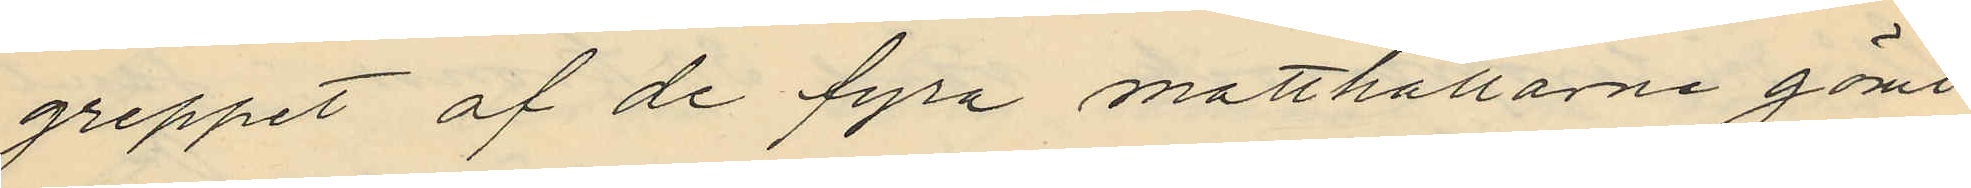greppet af de fyra matthållarne gömt
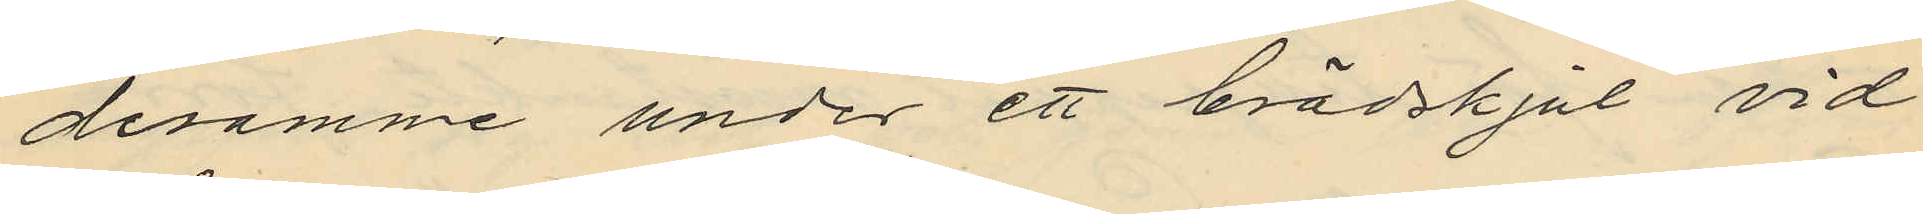desamme under ett brädskjul vid
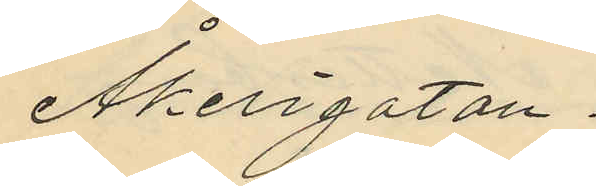Åkerigatan.
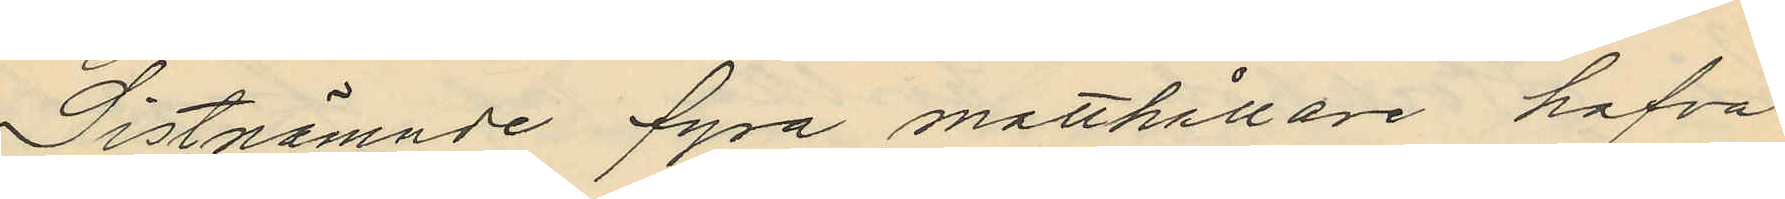Sistnämnde fyra matthållare hafva
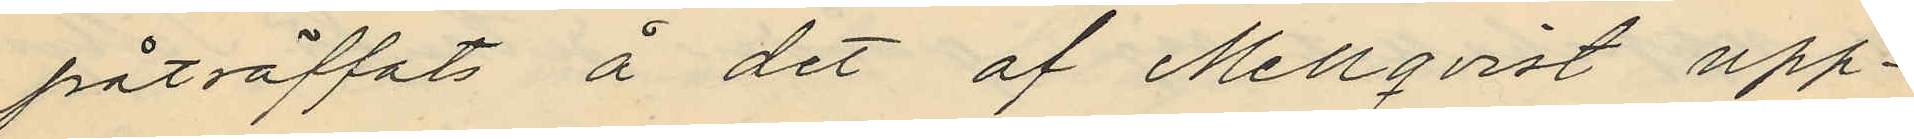påträffats å det af Mellqvist upp¬
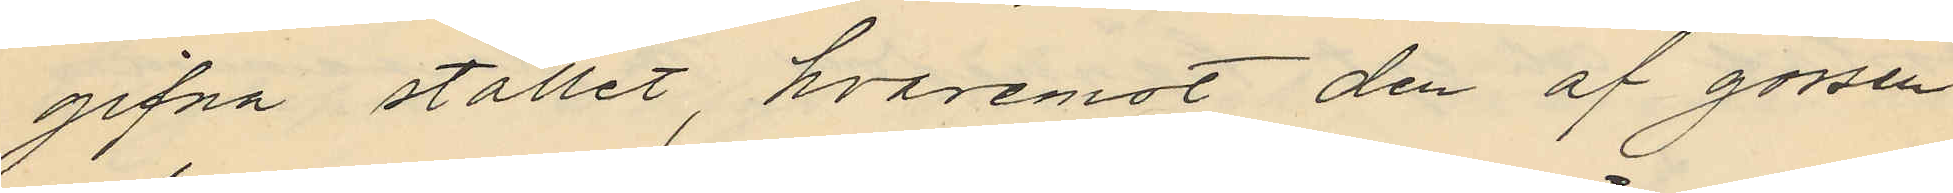gifna stället, hvaremot den af gossen
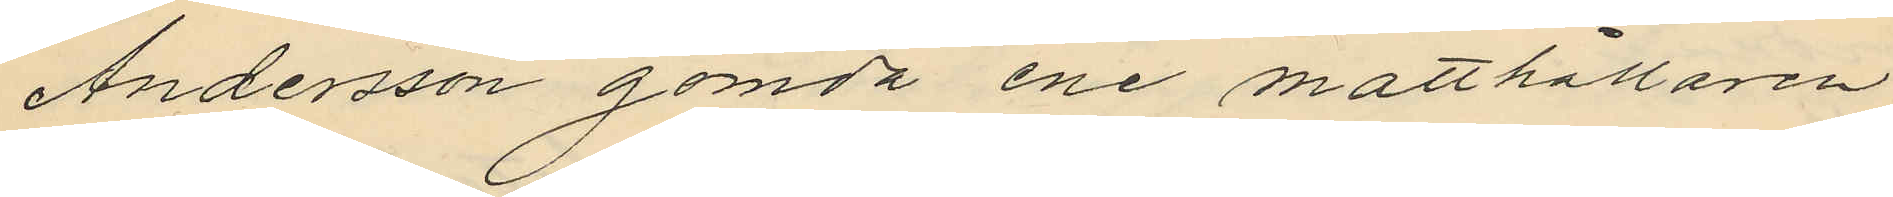Andersson gömda ene matthållaren
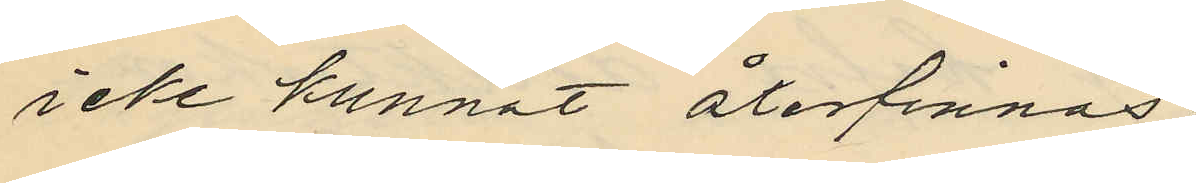icke kunnat återfinnas
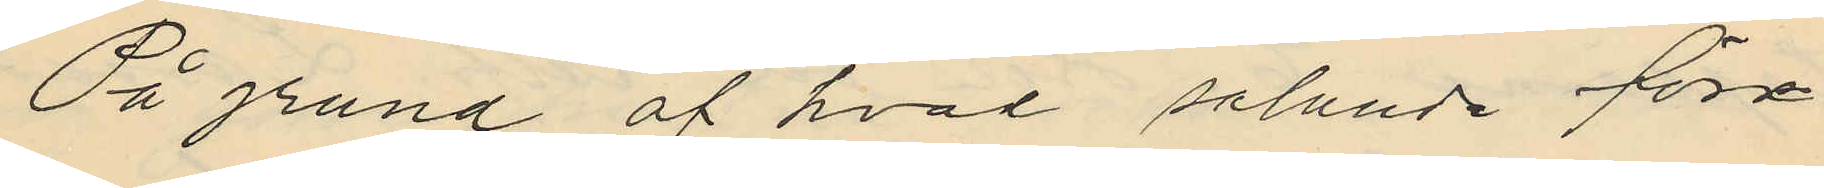På grund af hvad sålunda före¬
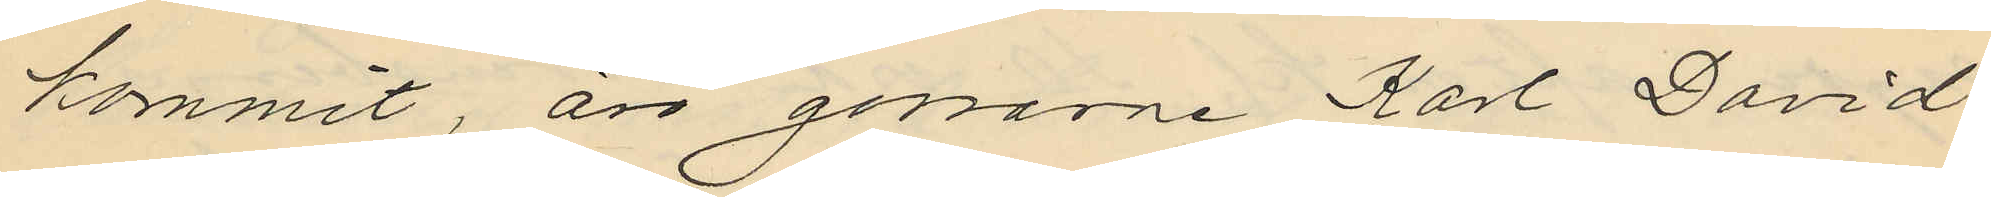kommit, äro gossarne Karl David
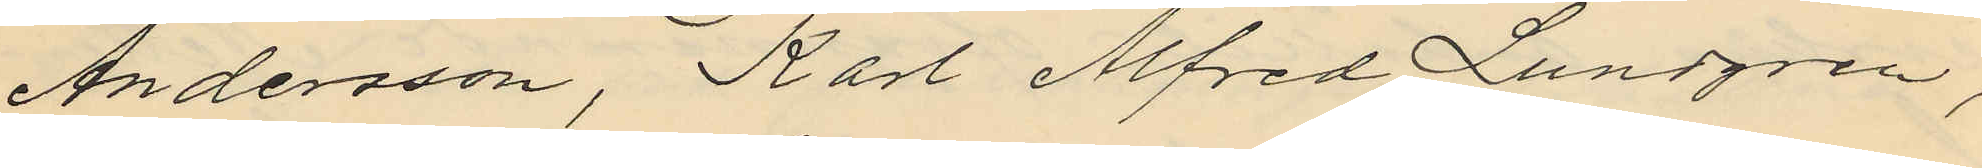Andersson, Karl Alfred Lundgren,
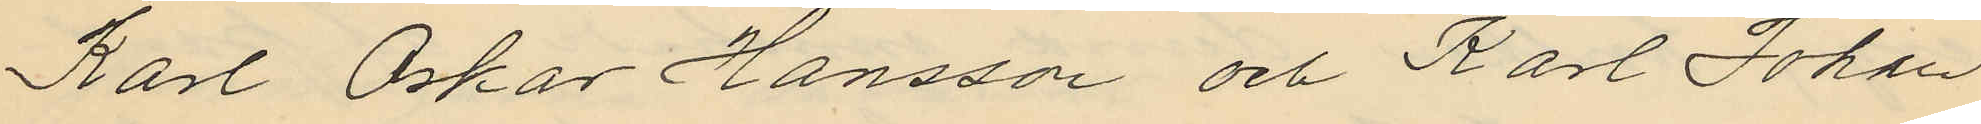Karl Oskar Hansson och Karl Johan
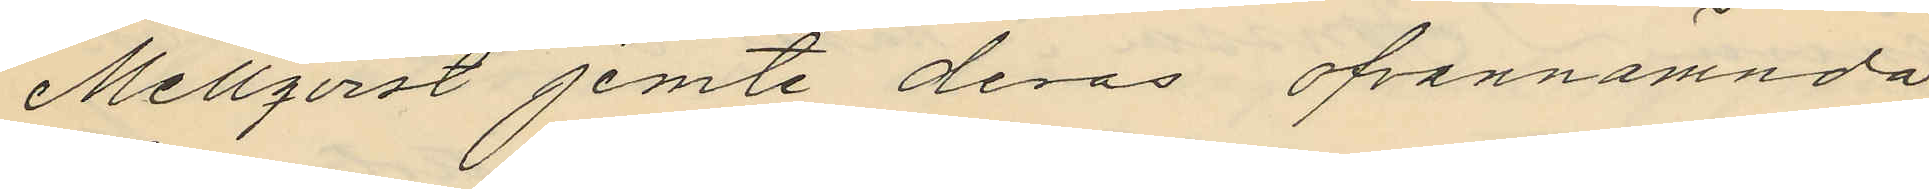Mellqvist jemte deras ofvannämnda
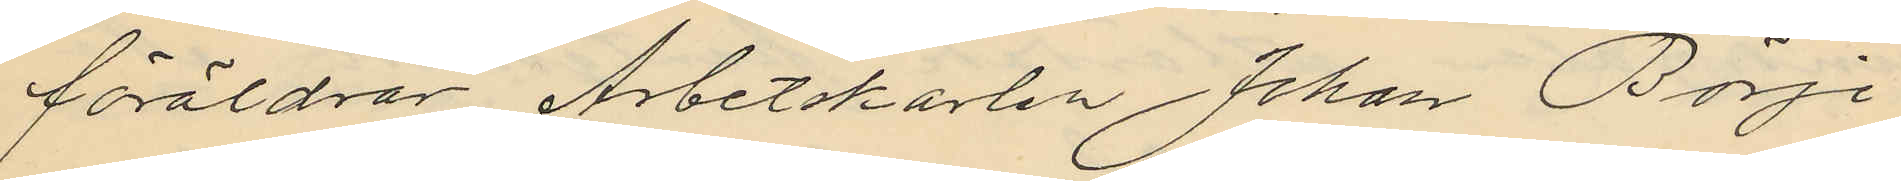föräldrar Arbetskarlen Johan Börje
